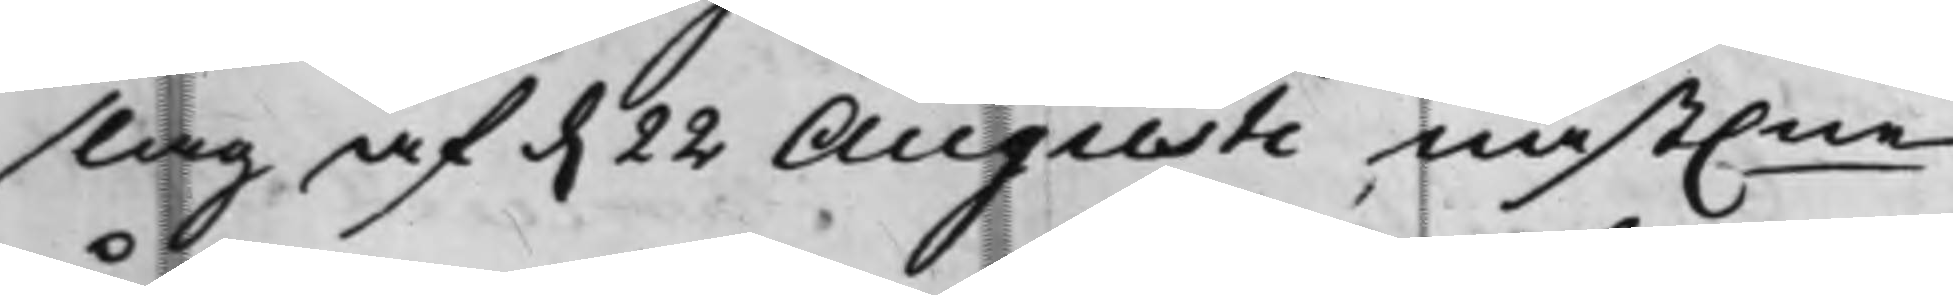slag af d. 22 Augusti näst.ne
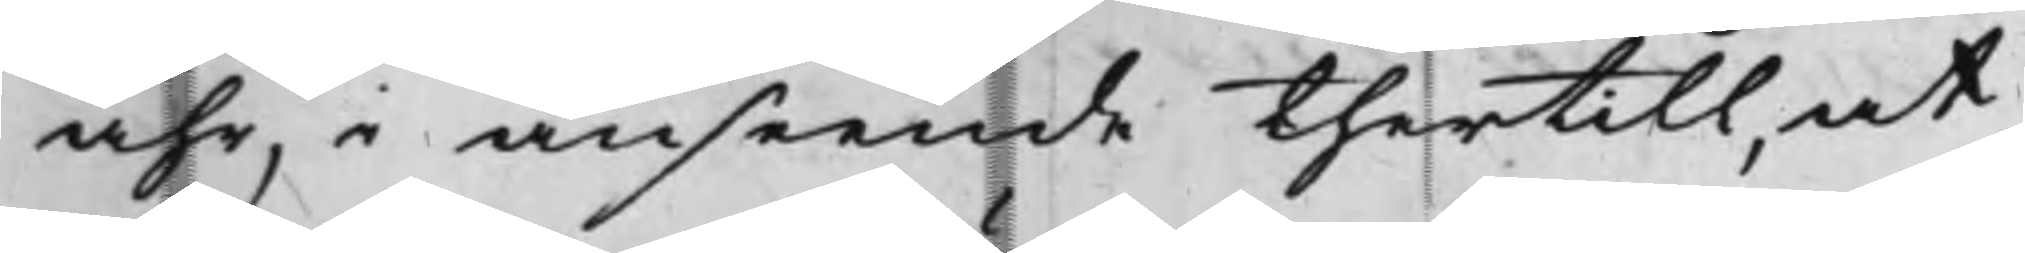åhr, i anseende thertill, at
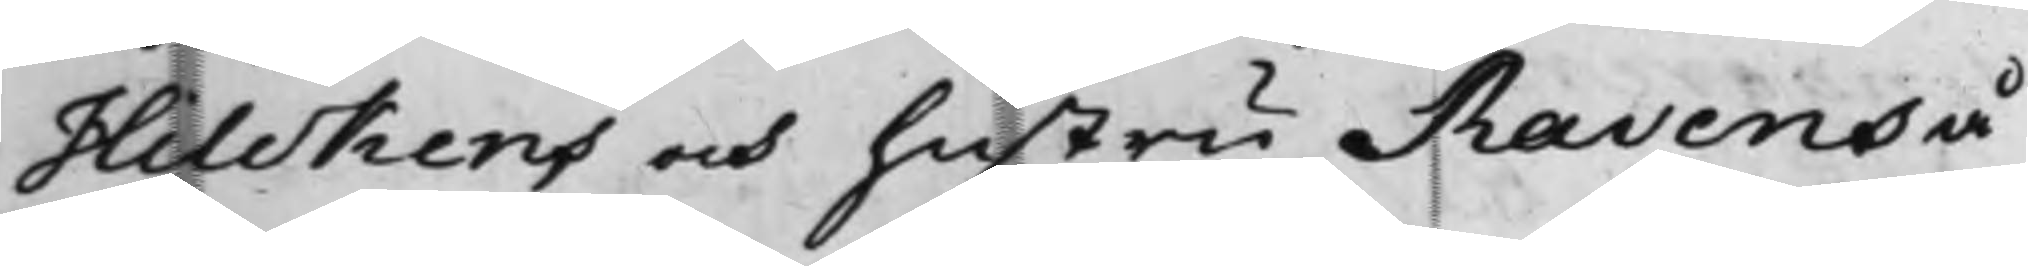Hilckens och hustru Ravens å
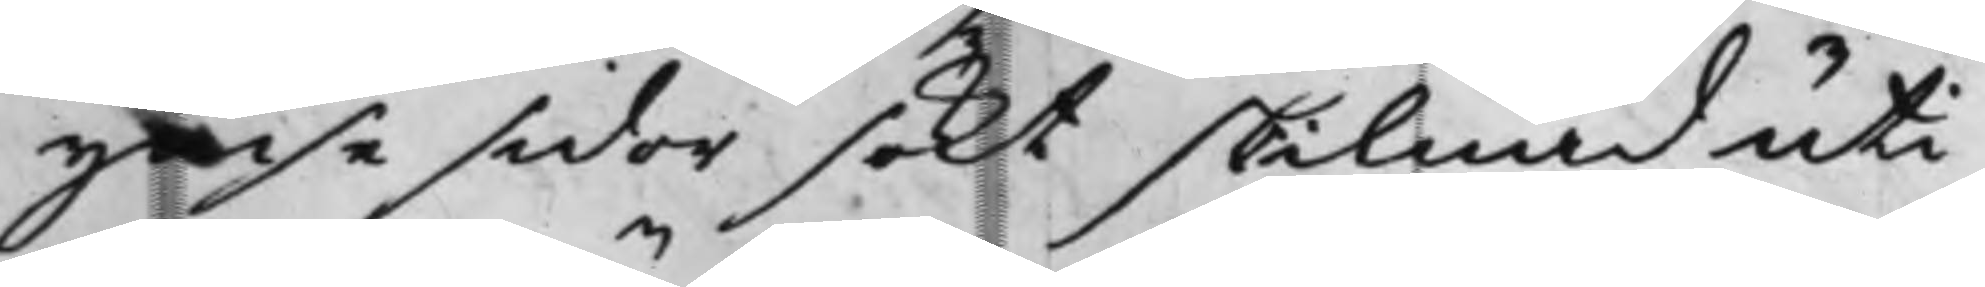ymse sidor sökt skilnad uti
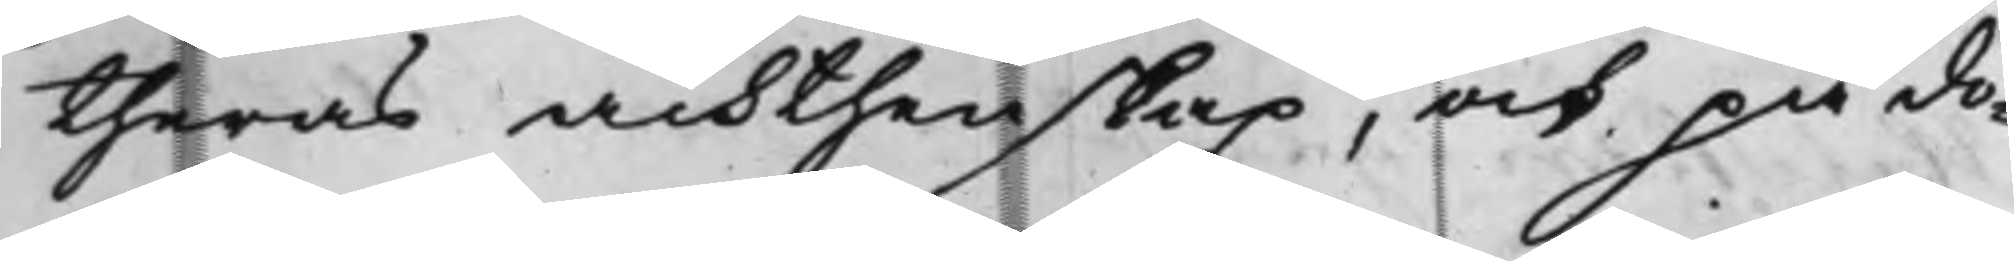theras ächthenskap, och på do¬
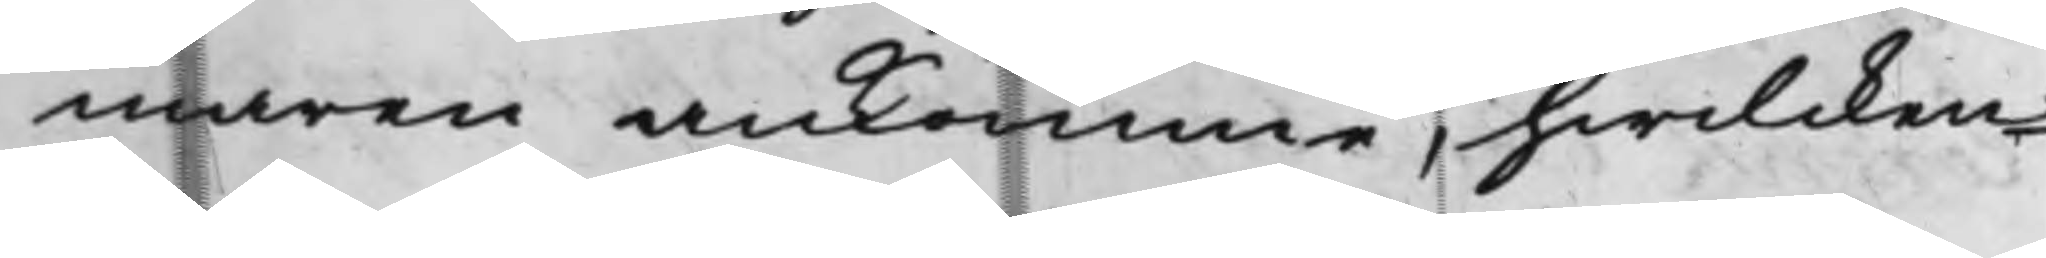maren ankomme, hwilcken¬
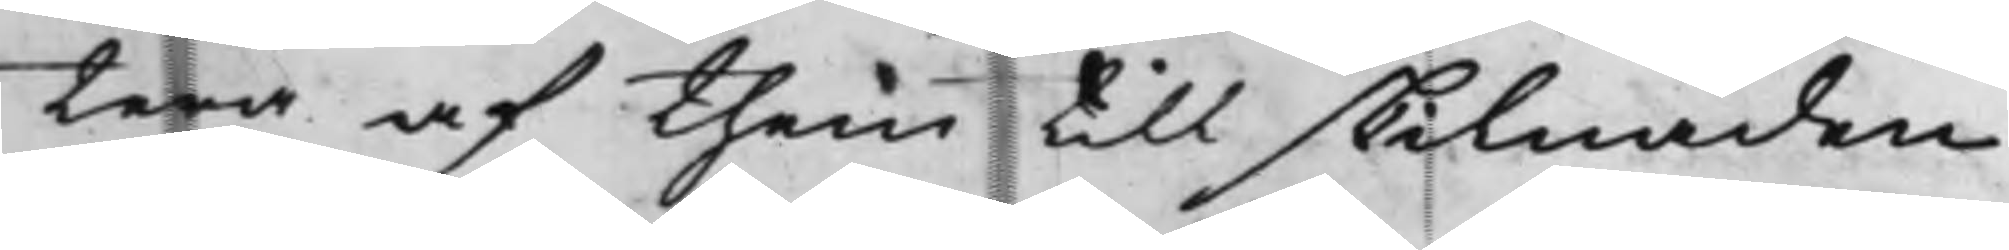tera af them till skilnaden
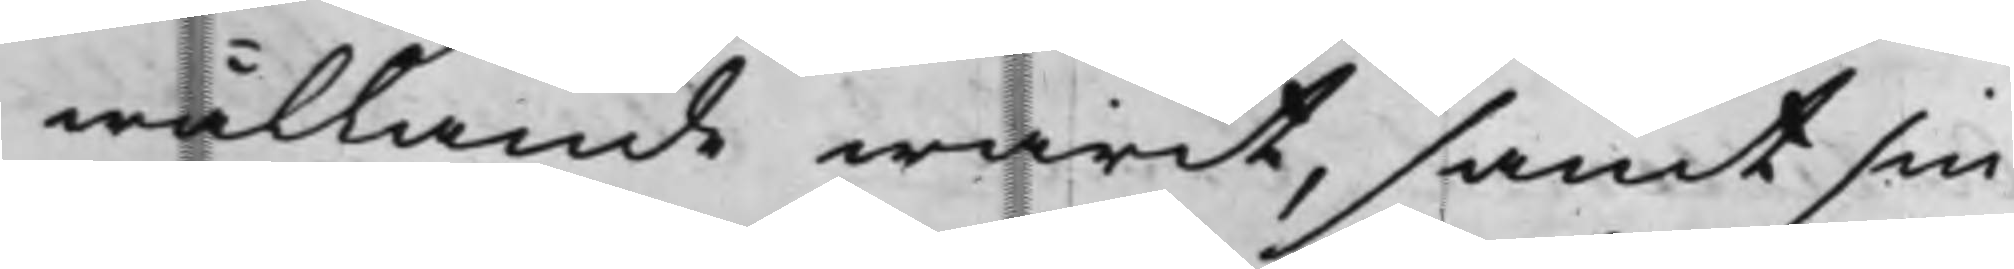wållande warit, samt sin
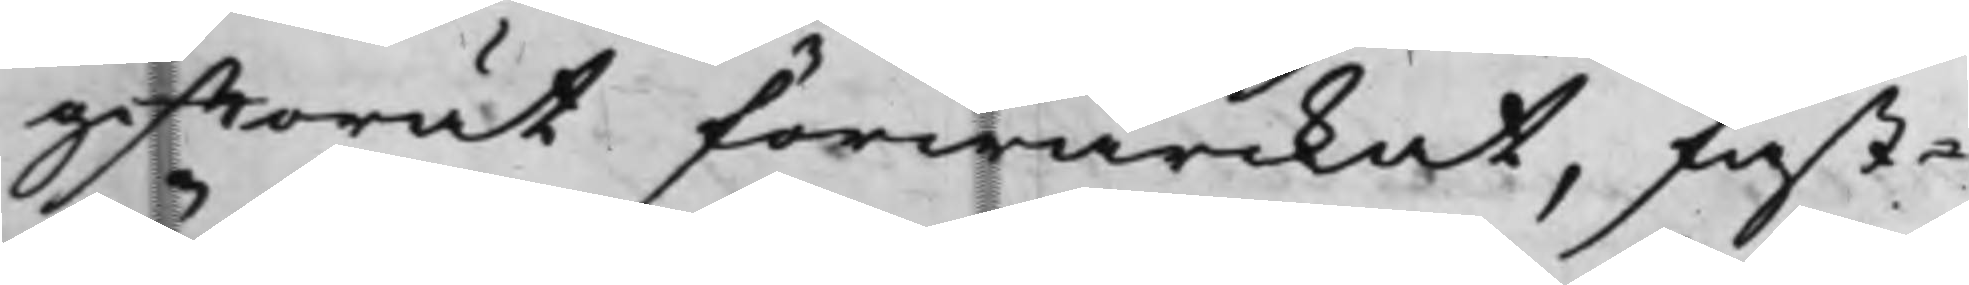gifftorät förwärckat, fast¬
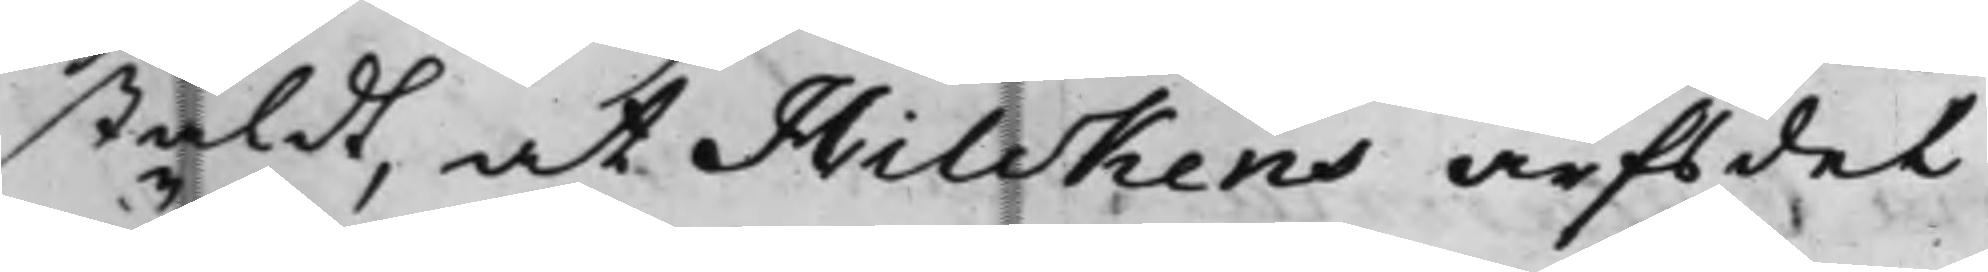stäldt, at Hilckens arfsdel
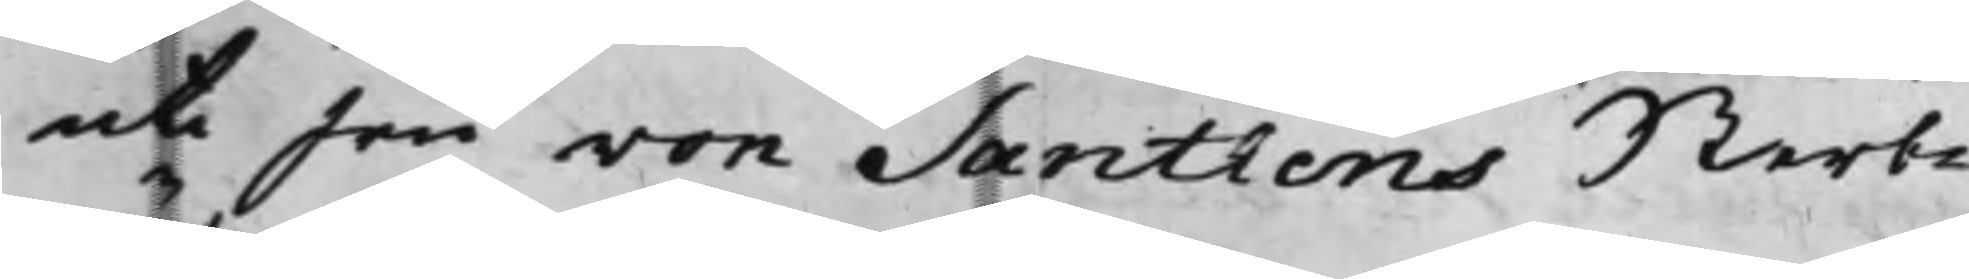uti Fru von Santhens Sterb¬
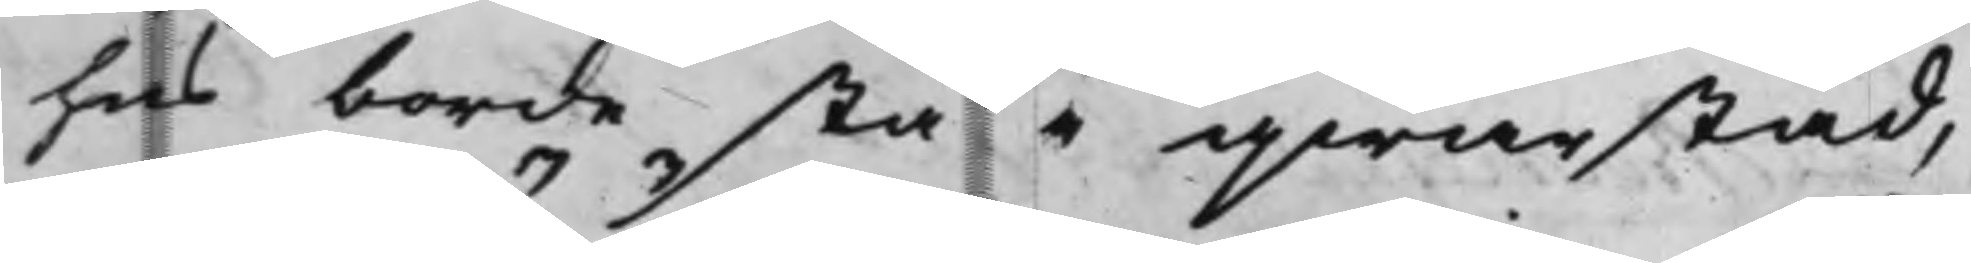hus borde stå i qwarstad,
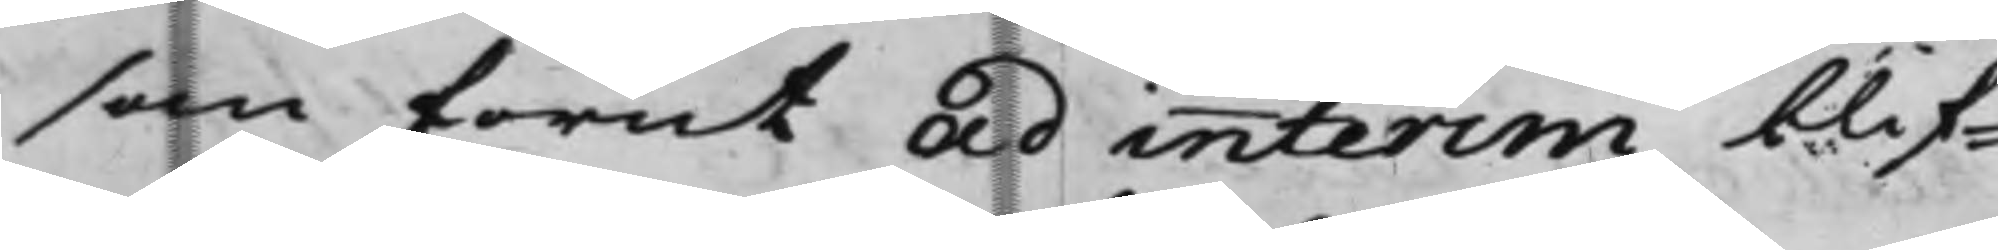som förut ad interim blif¬
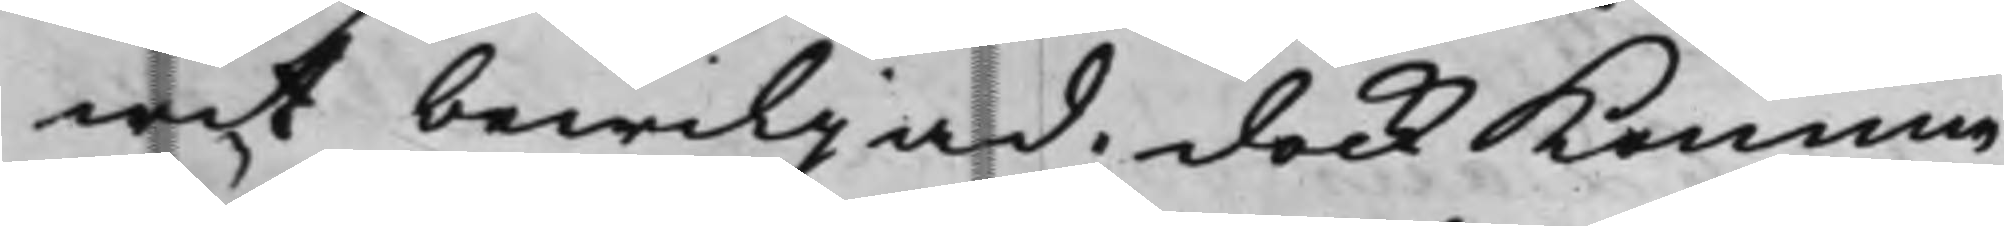wit bewiljad; dock komma
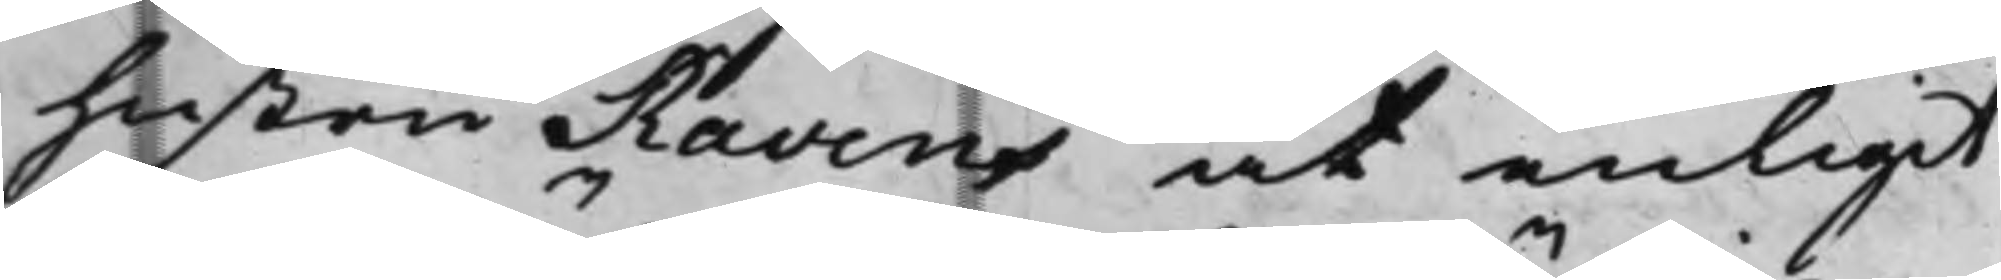hustru Ravens at enligit
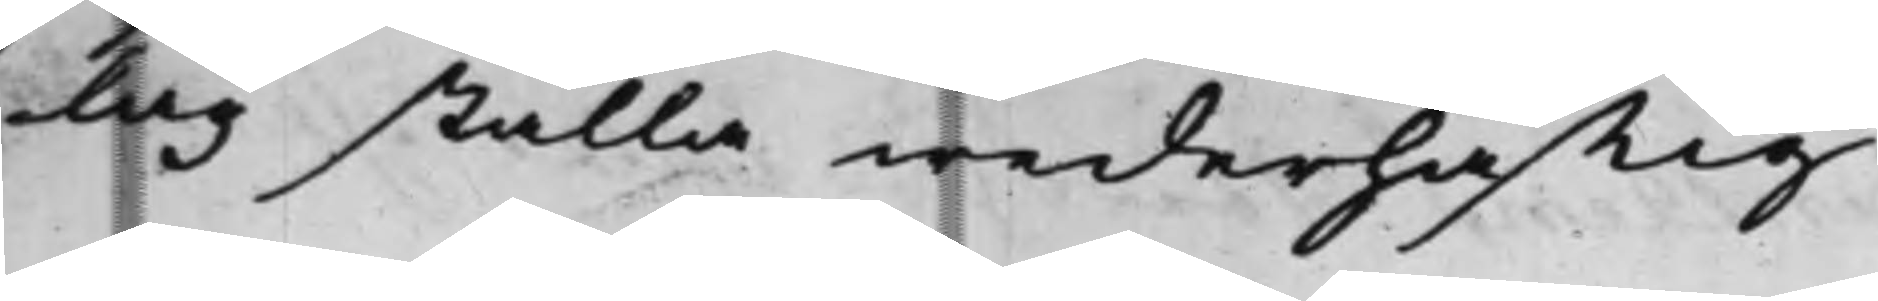Lag ställa wederhäfftig
